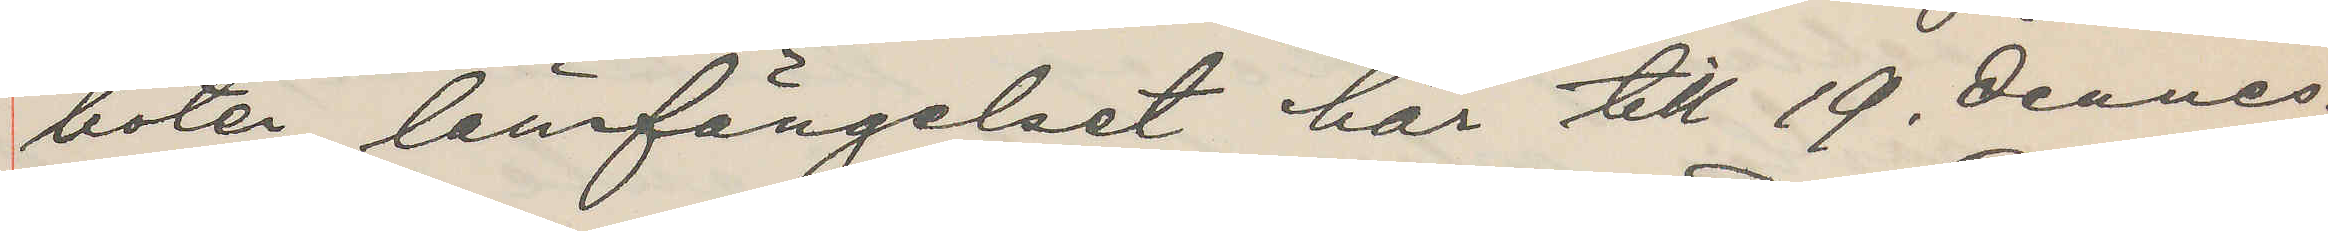böter länsfängelset här till 19. dennes.
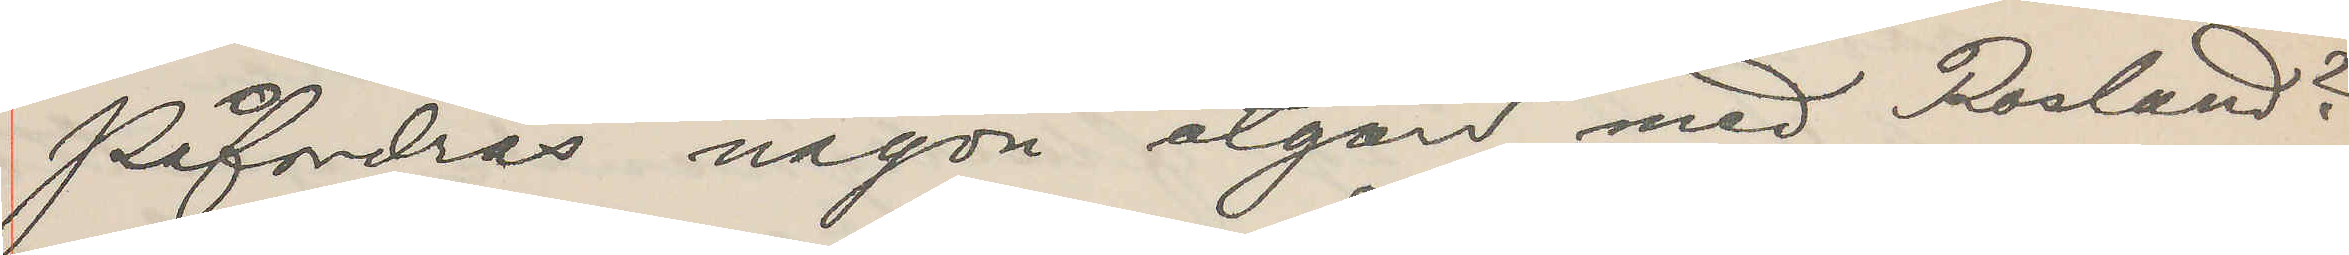Påfordras någon åtgärd med Roslund?
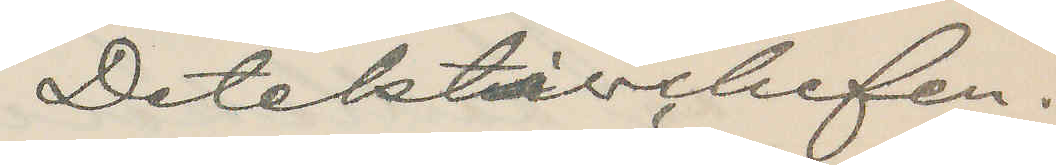Detektivchefen.
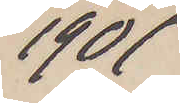1901
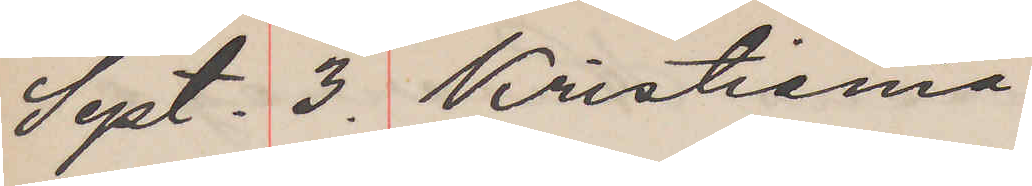Sept. 3. Kristiania
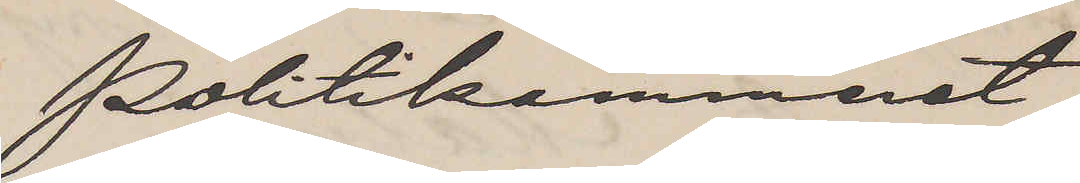Politikammeret
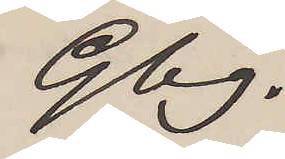Gbg.
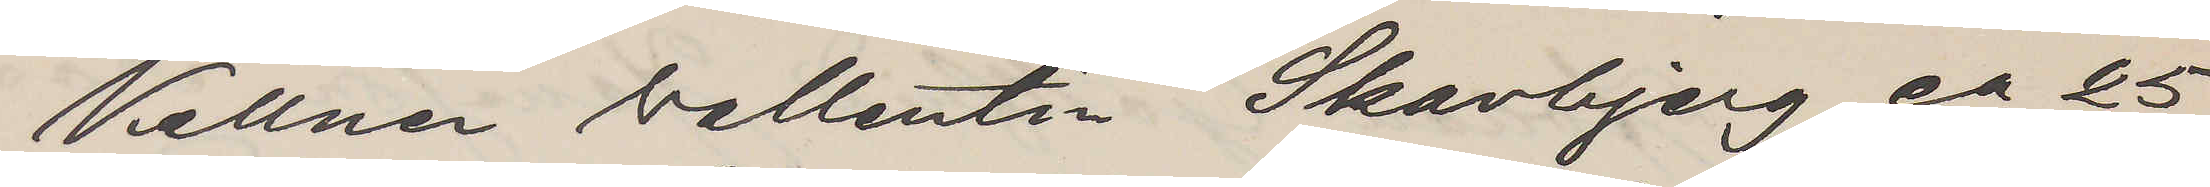Kellner Vallentin Skavbjerg ca 25
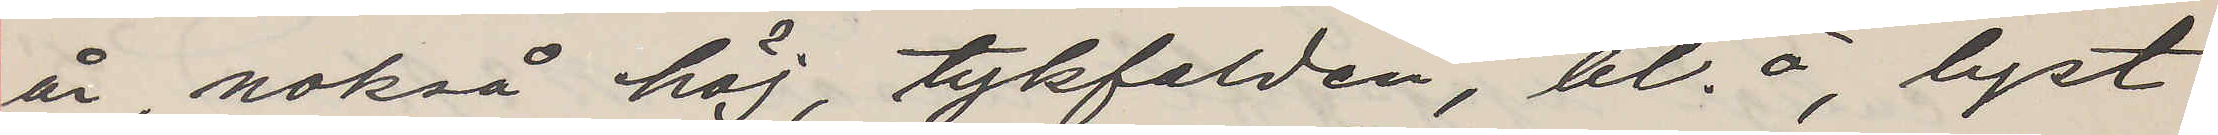år, nokså höj, tykfalden, bl.ö, lyst
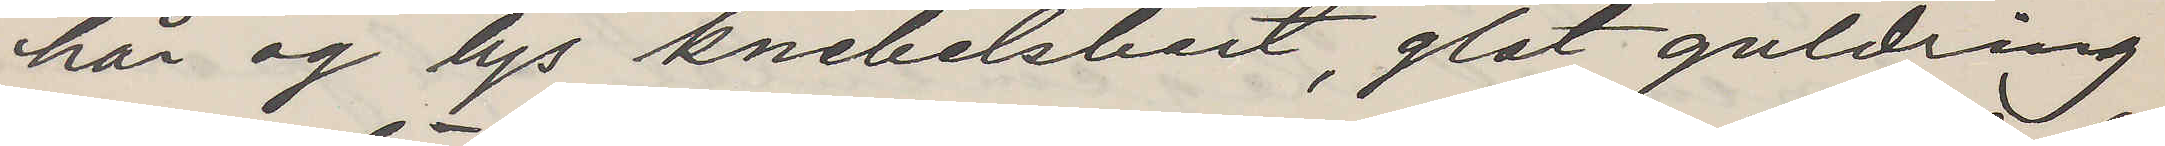hår og lys knebelsbart, glat guldring
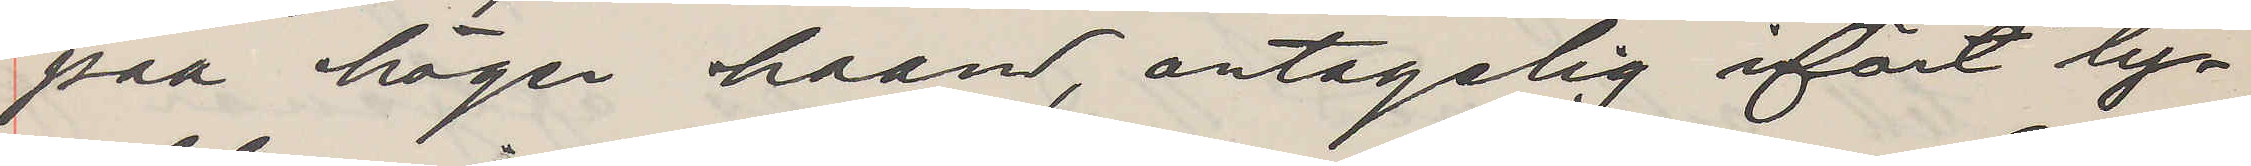paa höger haand, antagelig ifört ly¬
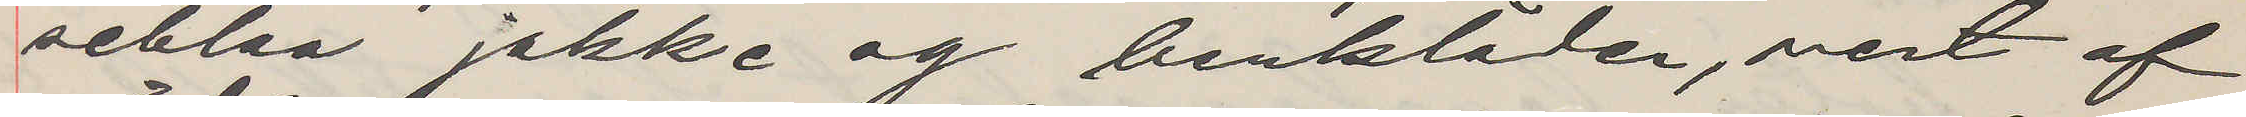seblaa jakke og benkläder, vest af
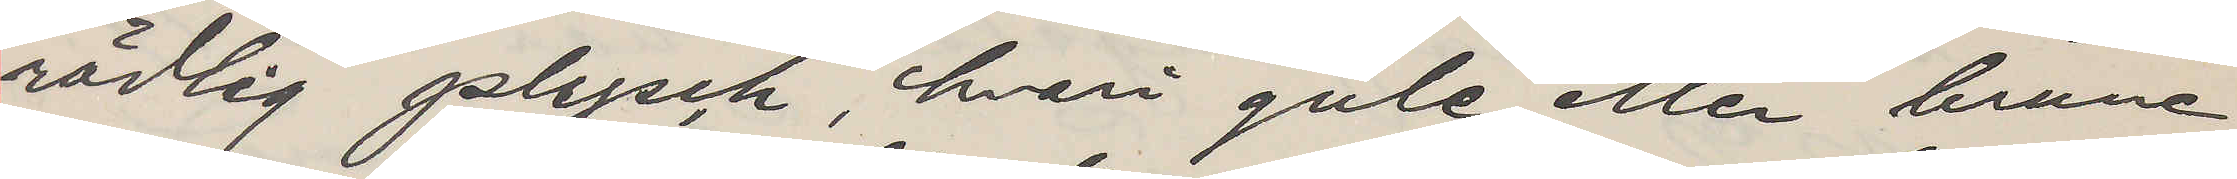rödlig plysch, hvari gule eller brune
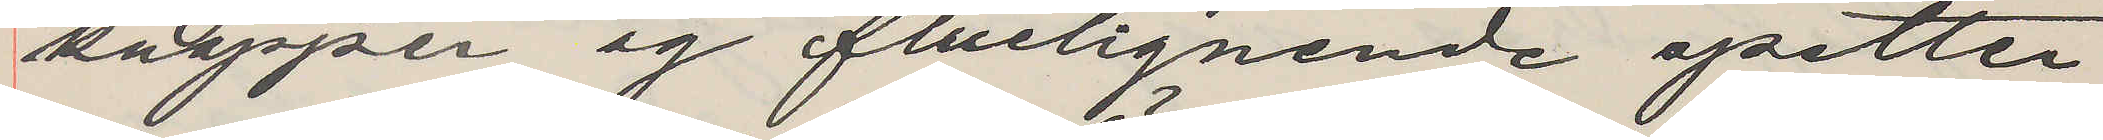knapper og fluelignande spetter
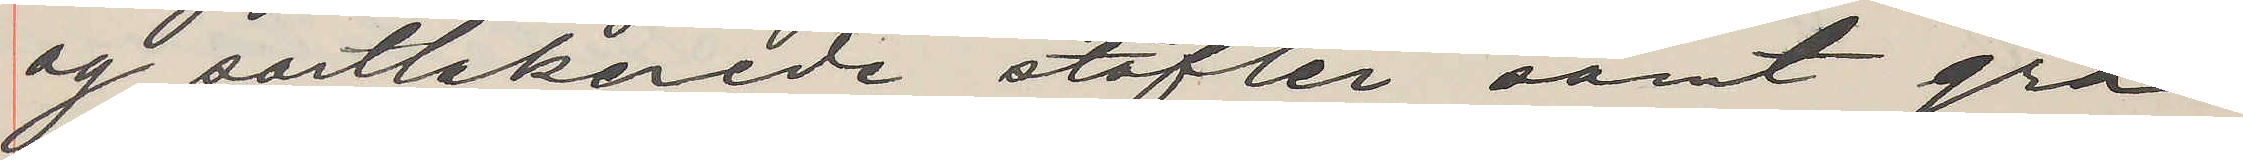og sortlakerede stöfler samt grå¬
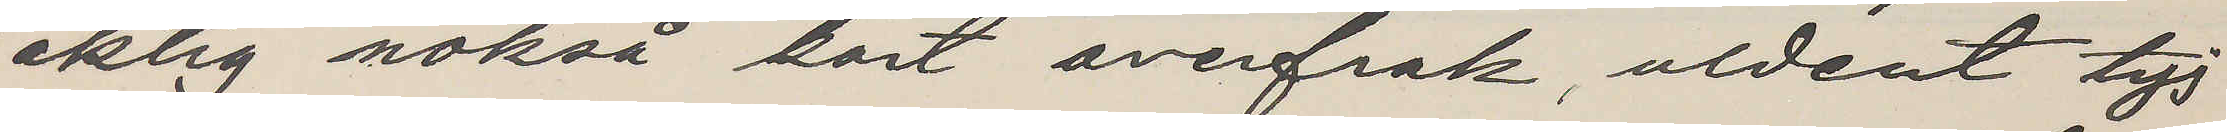aktig nokså kort overfrak, aldent tyj
